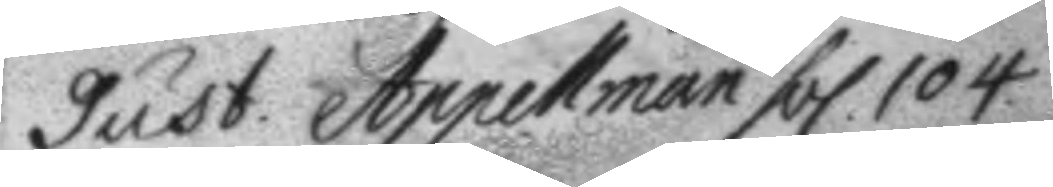gust. Appellman fol. 104.
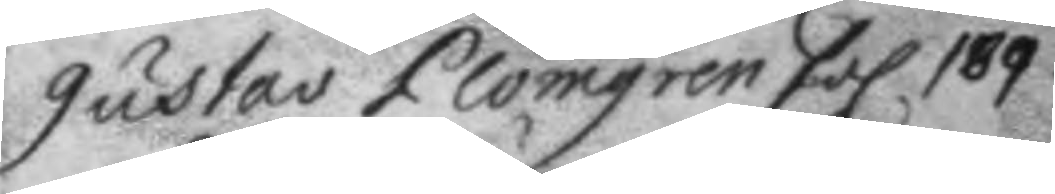gustav Plomgren fol 189.
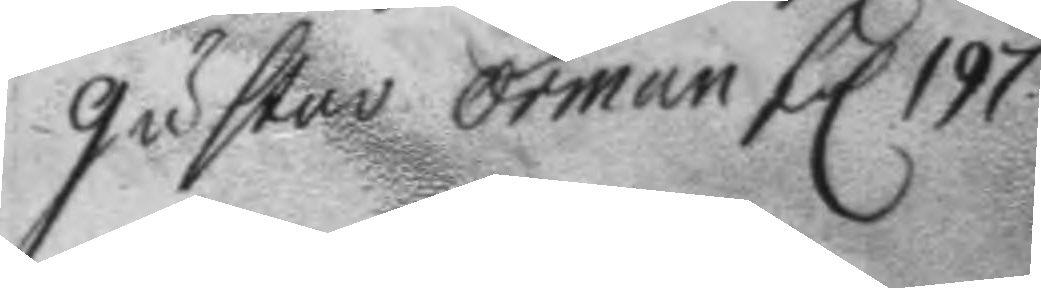gustav örman fol 197.
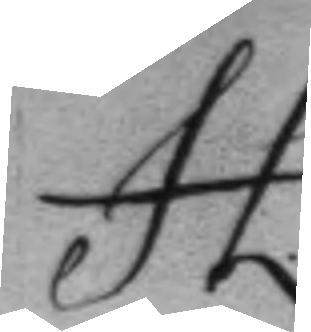H
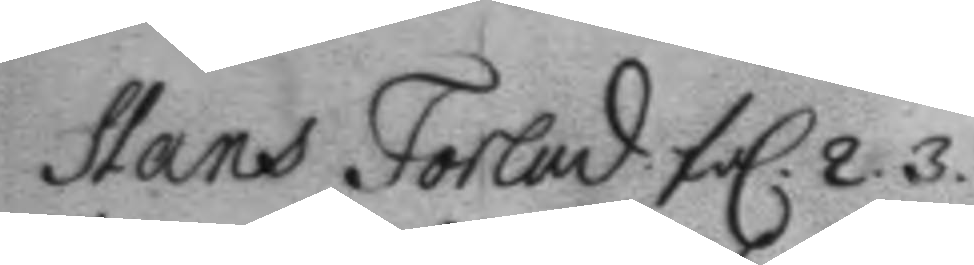Hans Forlad fol. 2. 3.
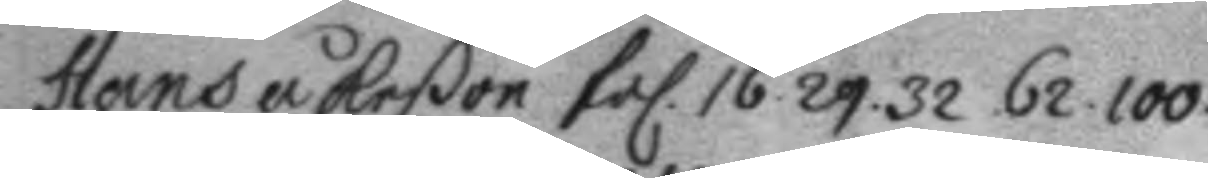Hans åkeßon fol. 16. 29. 32. 62. 100.
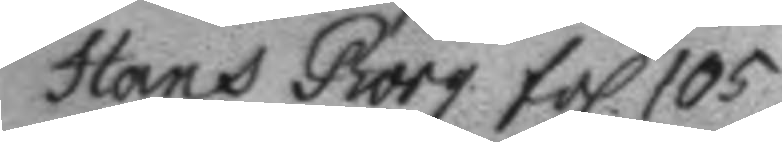Hans Borg fol. 105.
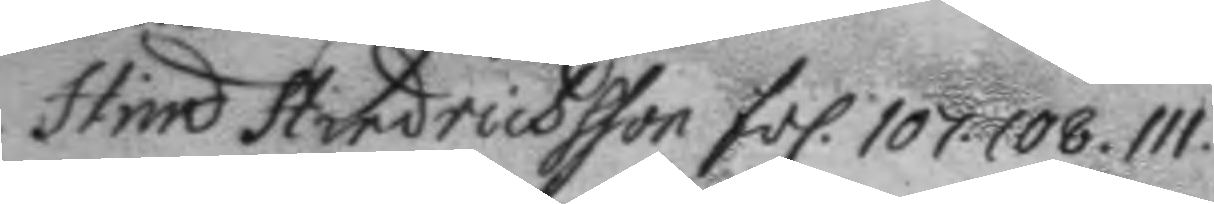Hind. Hindrichsson fol. 107. 108. 111.
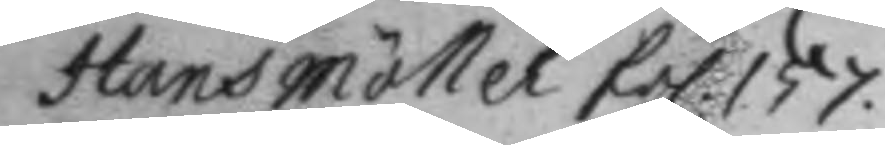Hans möller fol. 157.
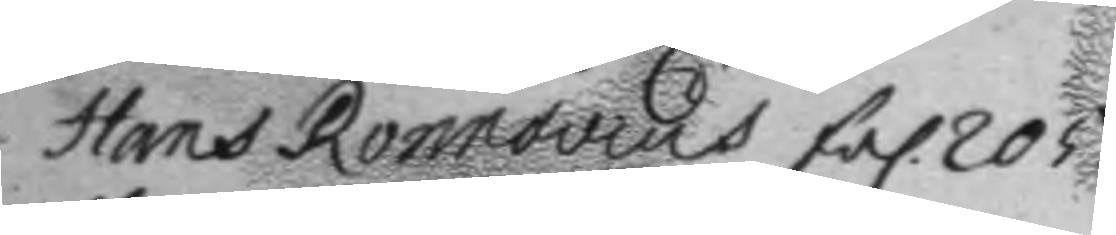Hans Ronnovius fol. 205.
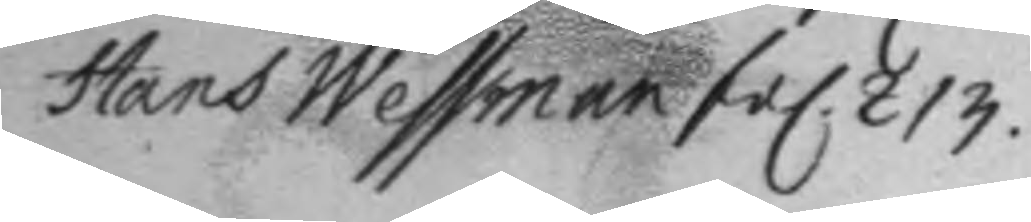Hans Wessman fol. 213.
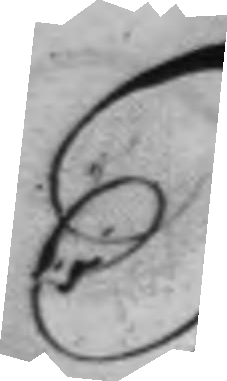J
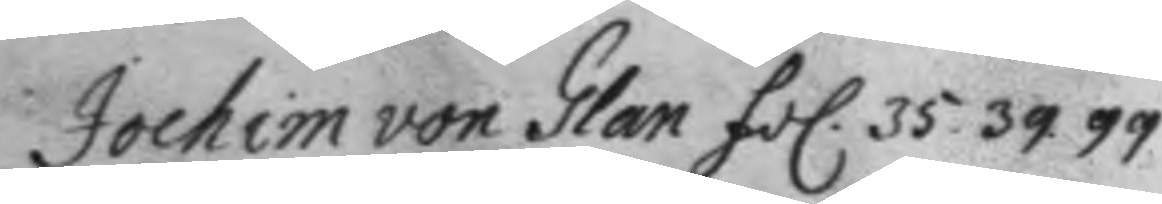Jochim von Glan fol. 35. 39. 99.
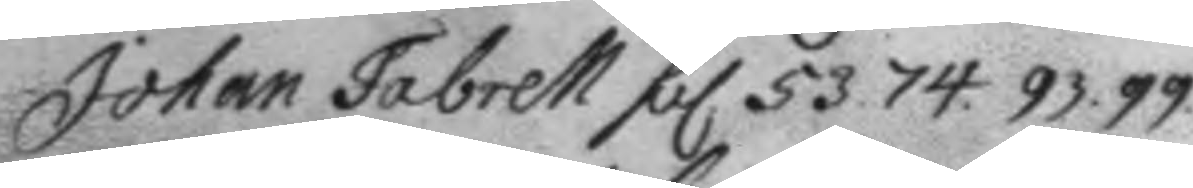Johan Fabrell fol 53. 74. 93.99
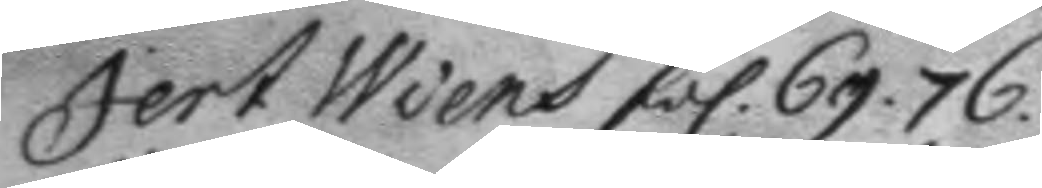Jert Wiens fol. 69. 76.
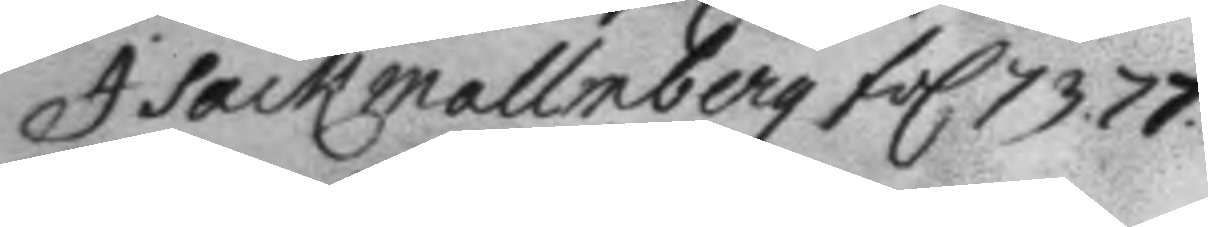Isack Mallmberg fol 73. 77.
